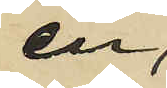en
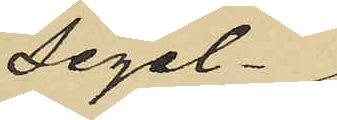segel¬
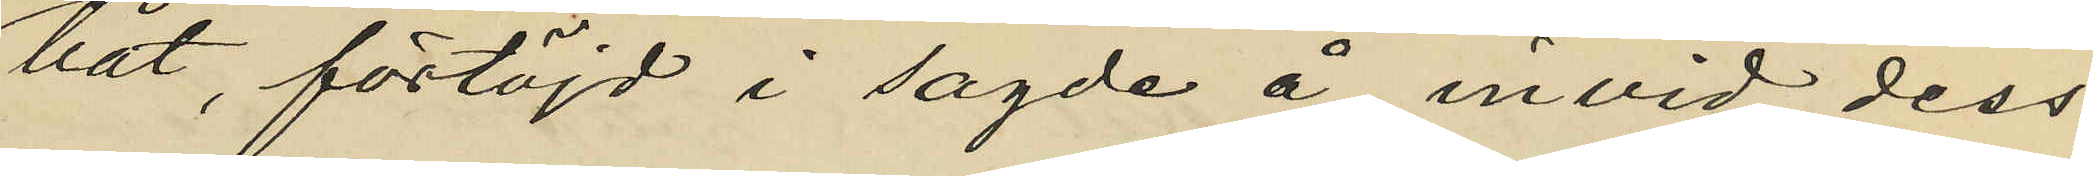båt, förtöjd i sagde å invid dess
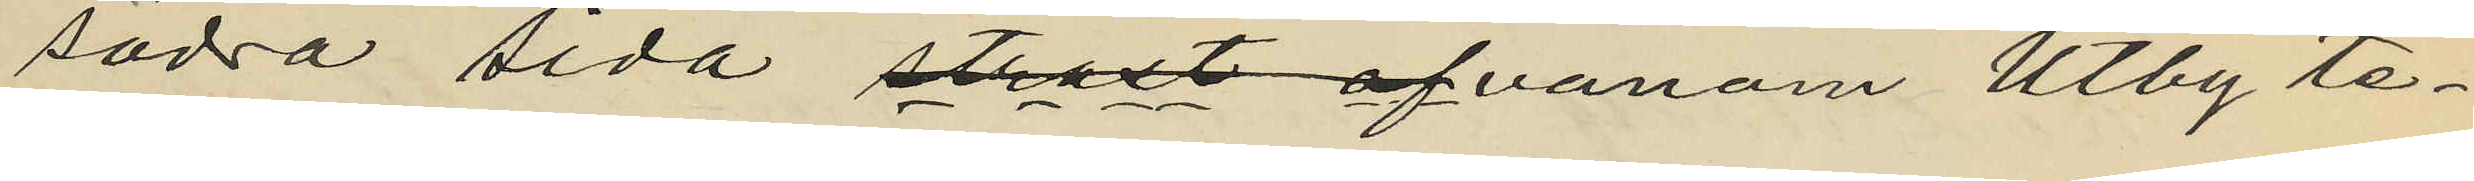södra sida straxt ofvanom Utby te¬
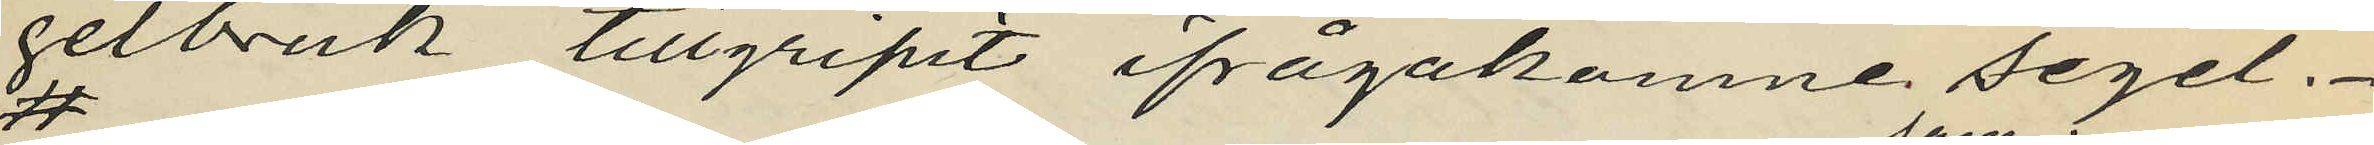gelbruk tillgripit ifrågakomne segel.
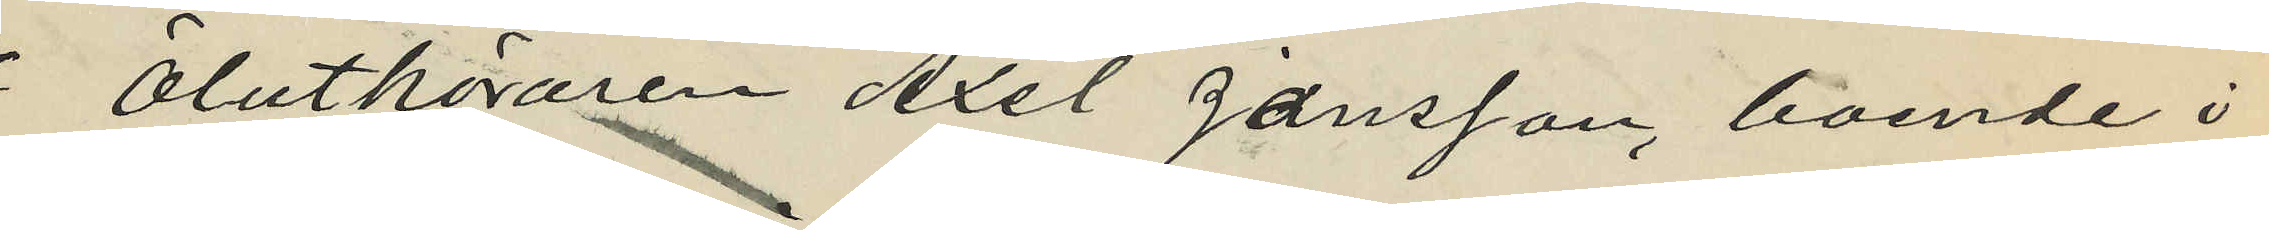Ölutköraren Axel Jansson, boende i
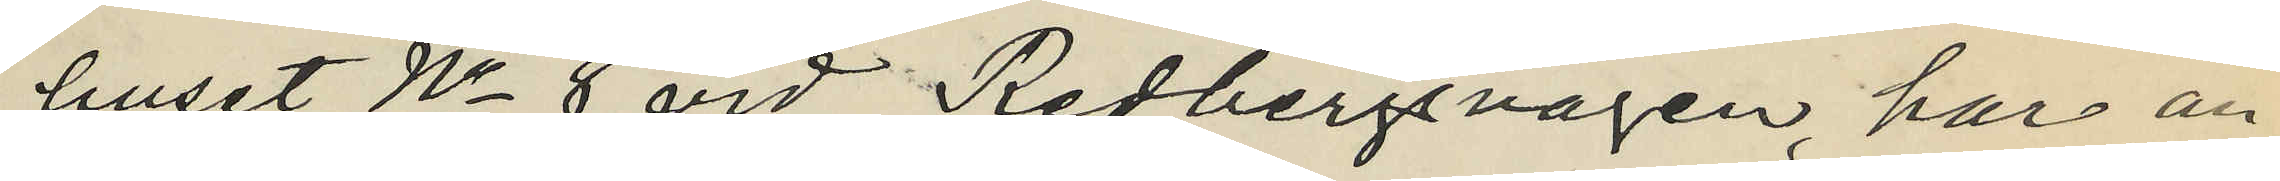huset No 8 vid Redbergsvägen, har an¬
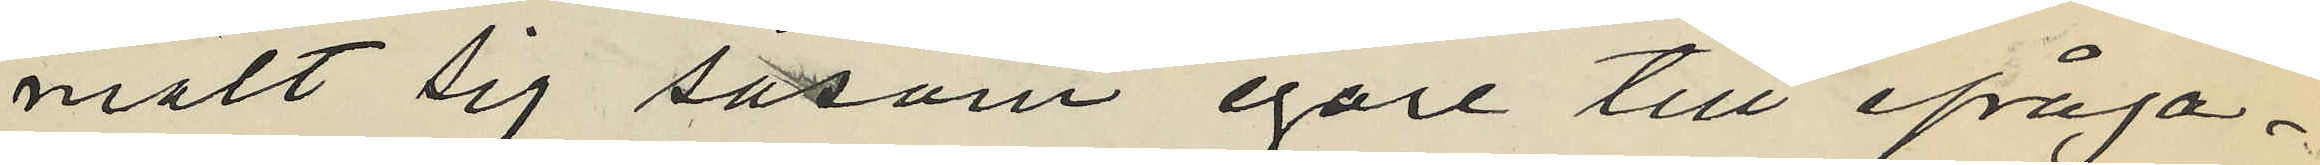mält sig såsom egare till ifråga¬
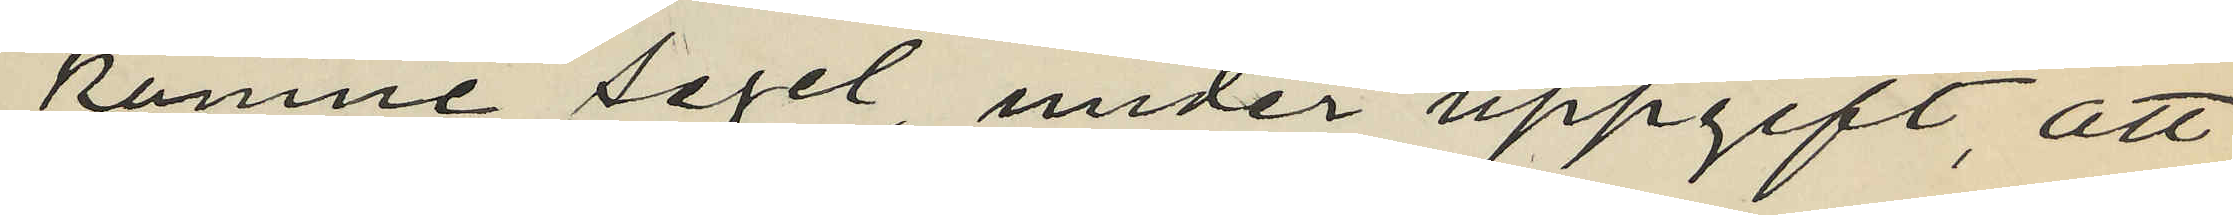komne segel under uppgift, att
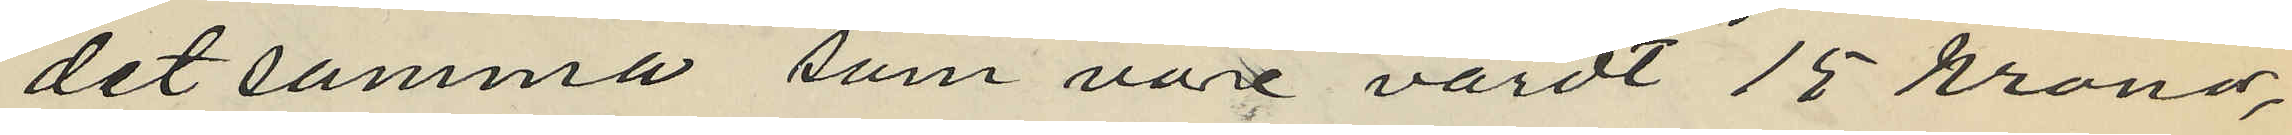detsamma som vore värdt 15 kronor,
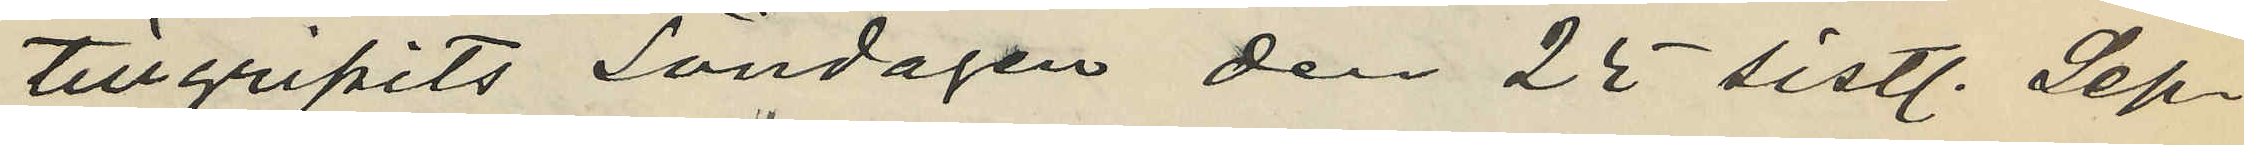tillgripits Söndagen den 25 sistl. Sep¬
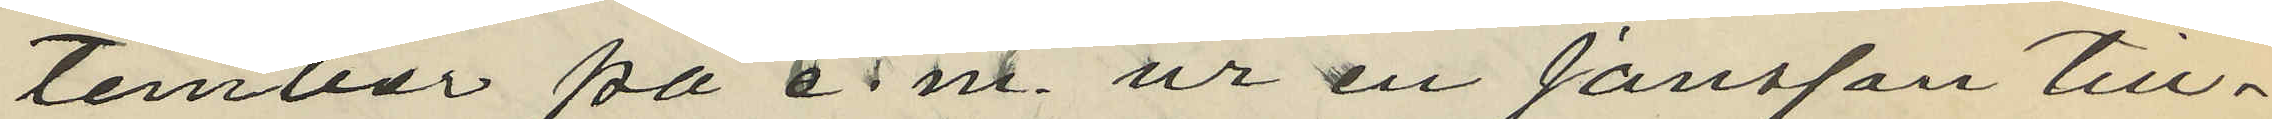tember på e.m. ur en Jansson till¬
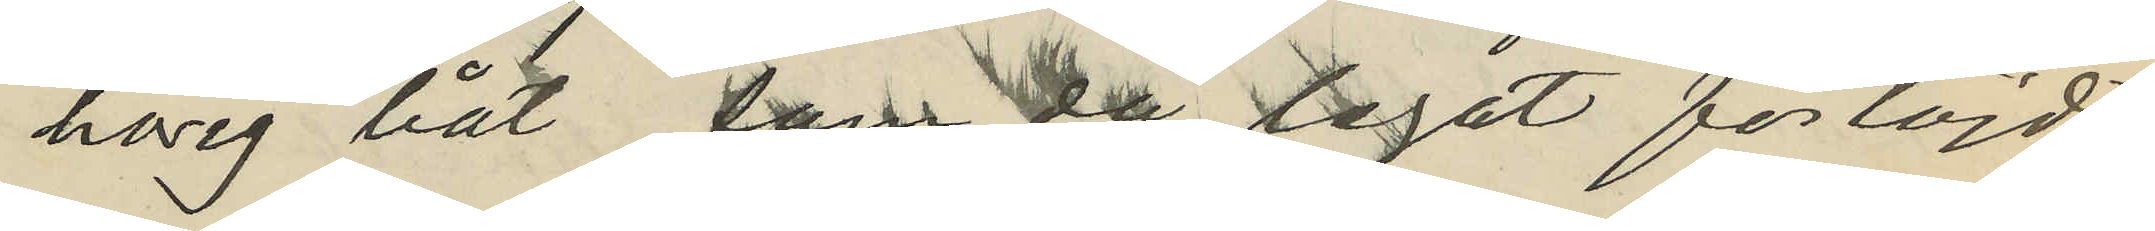hörig båt, som då legat förtöjd
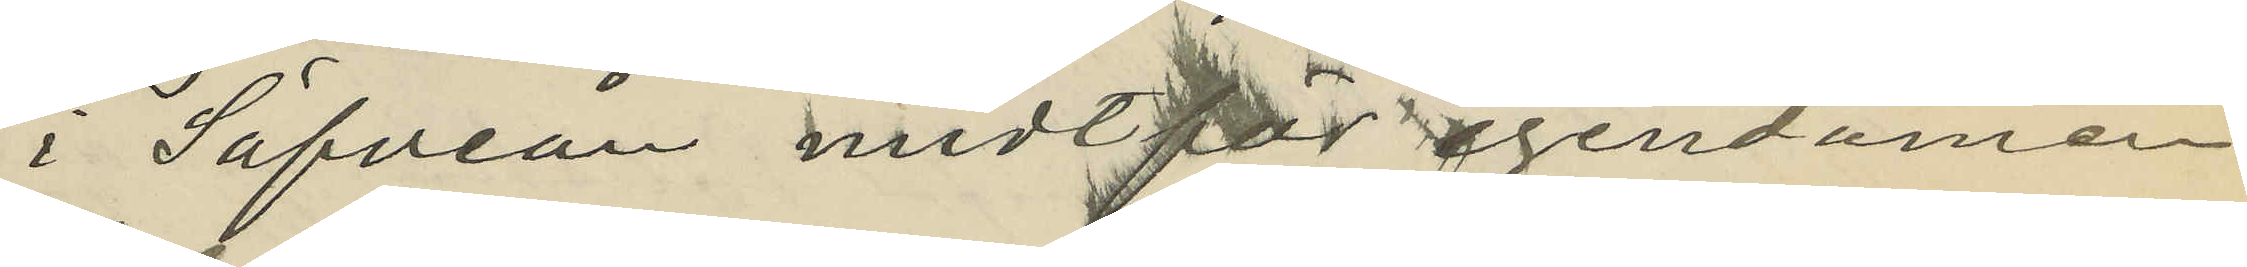i Säfveån midt för egendomen
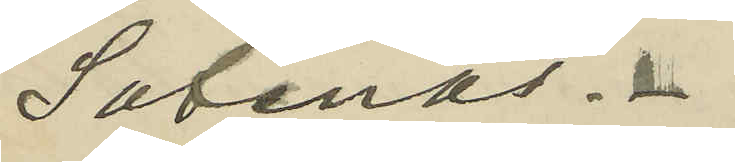Safenäs.
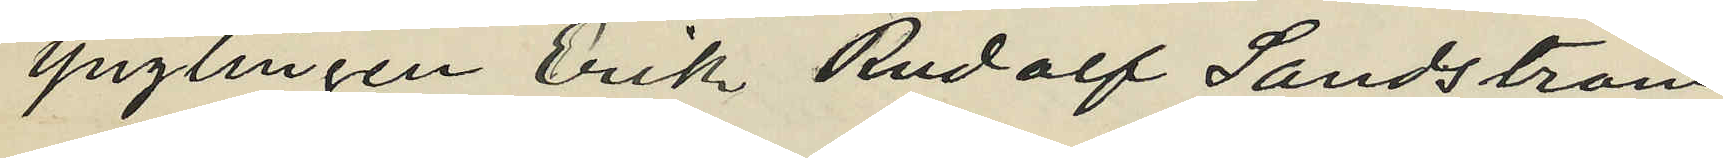Ynglingen Erik Rudolf Sundström
